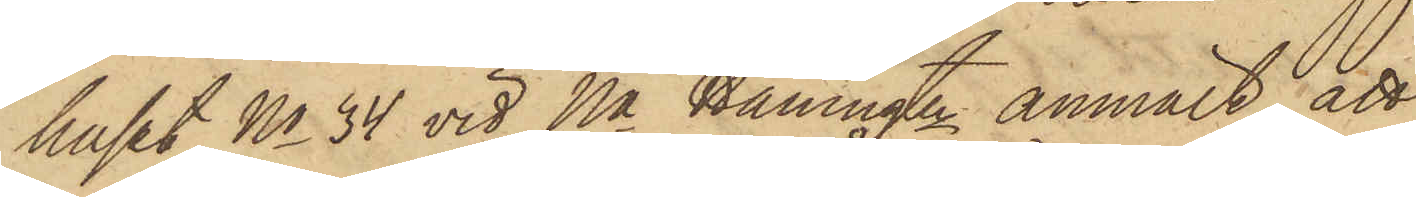huset No 34 vid Na Hamngtn anmält, att
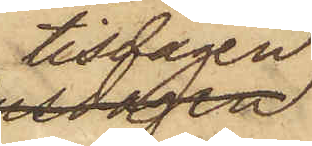tisdagen
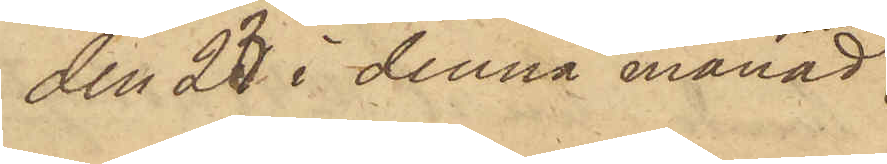den 23 i denna månad
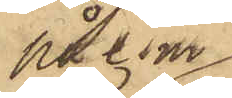på e.m.
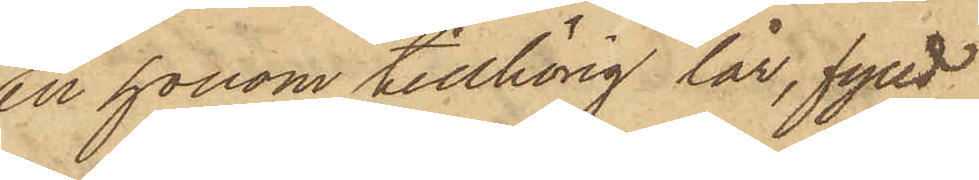en honom tillhörig lår, fylld
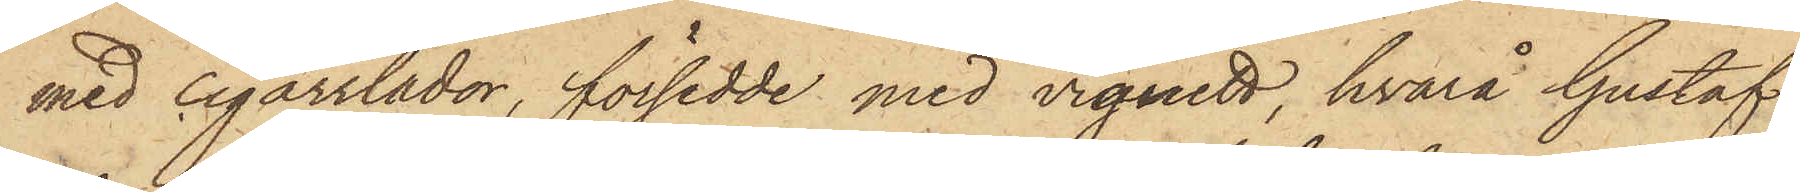med cigarrlådor, försedde med vignett, hvarå Gustaf
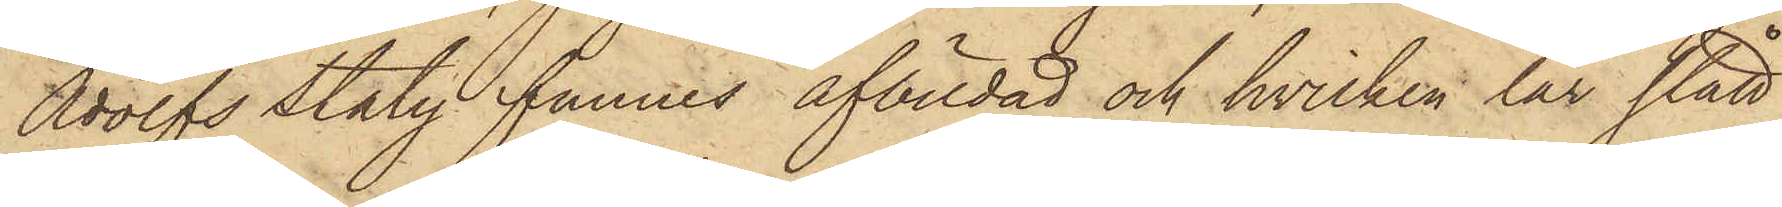Adolfs Staty funnes afbildad och hvilken lår stått
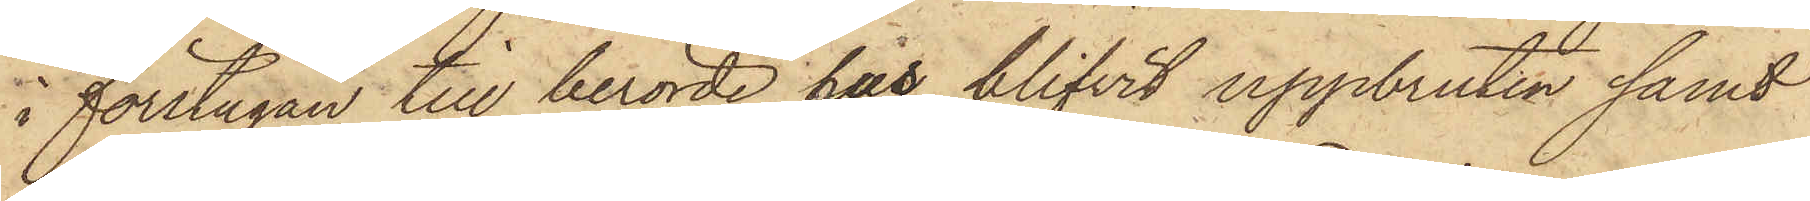i förstugan till berörde hus blifvit uppbruten samt
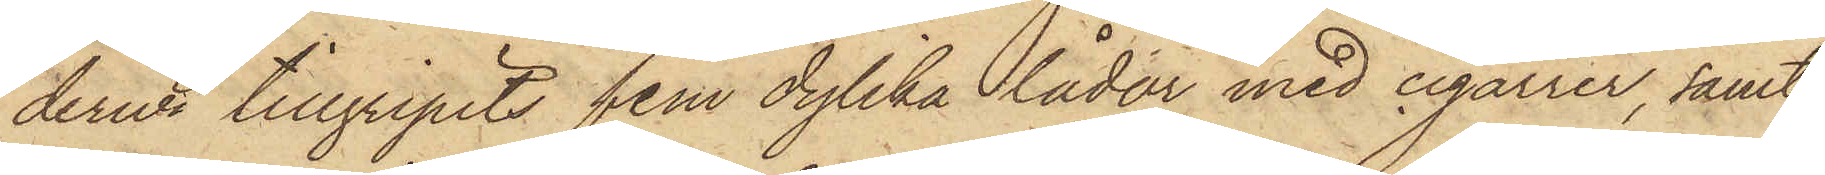derur tillgripits fem dylika lådor med cigarrer, samt
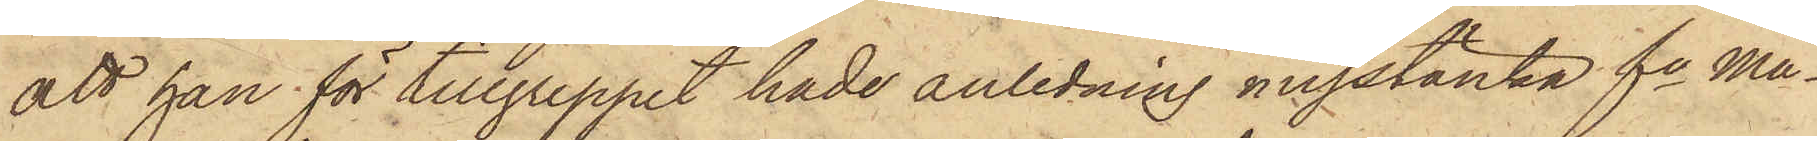att han för tillgreppet hade anledning misstänka fe Må¬
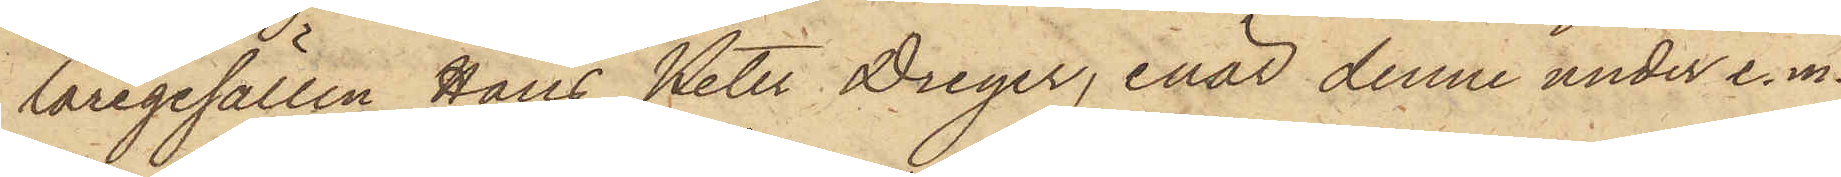laregesällen Hans Peter Dreyer, enär denne under e.m.
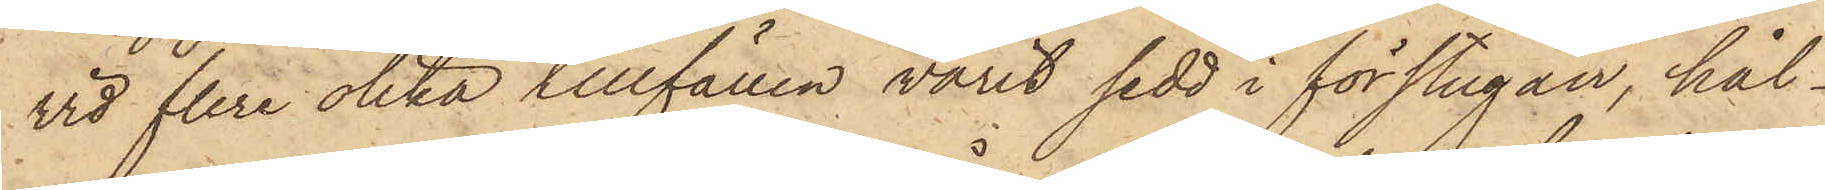vid flere olika tillfällen varit sedd i förstugan, hål¬
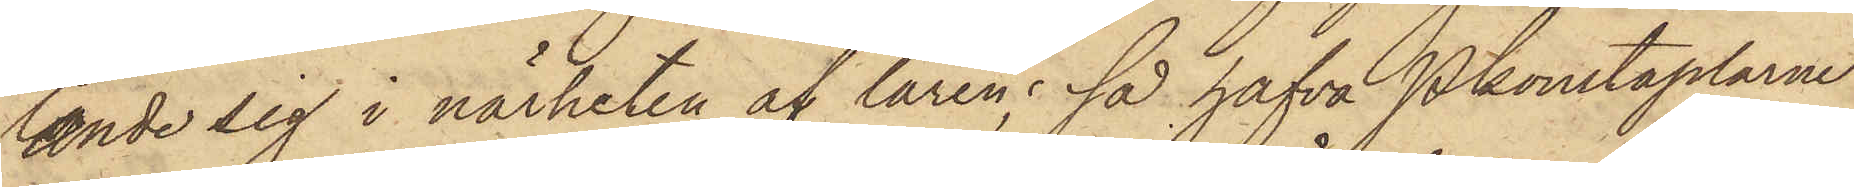lande sig i närheten af låren; så hafva Pkonstaplarne
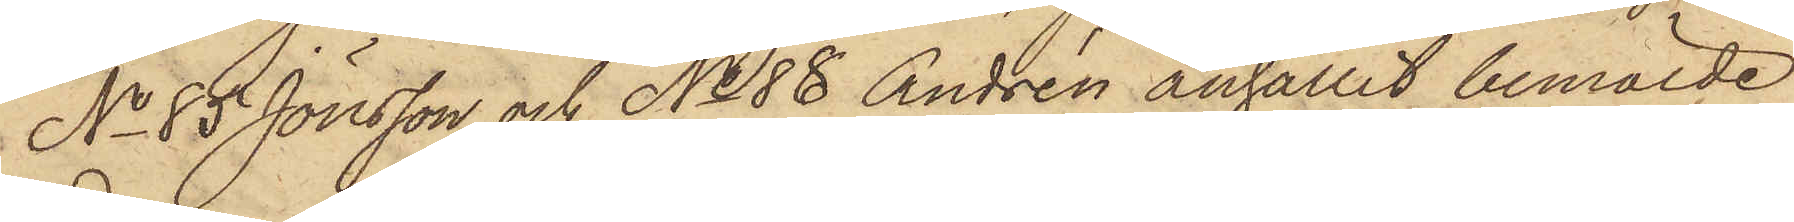No 85 Jönsson och No 88 Andrén anhållit bemälde
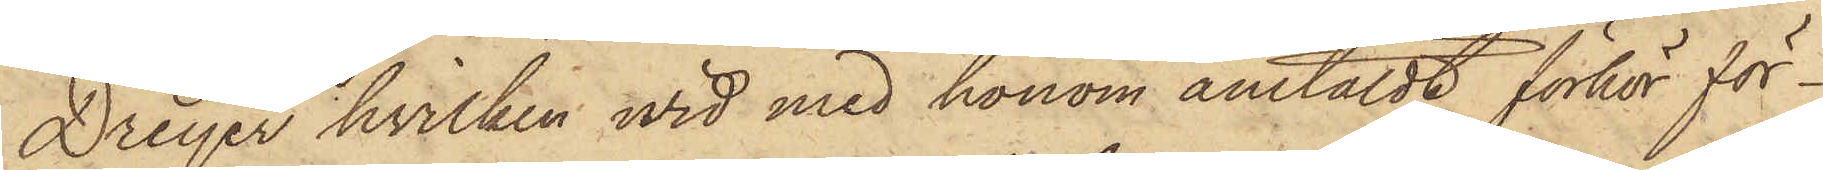Dreyer, hvilken wid med honom anstäldt förhör för¬
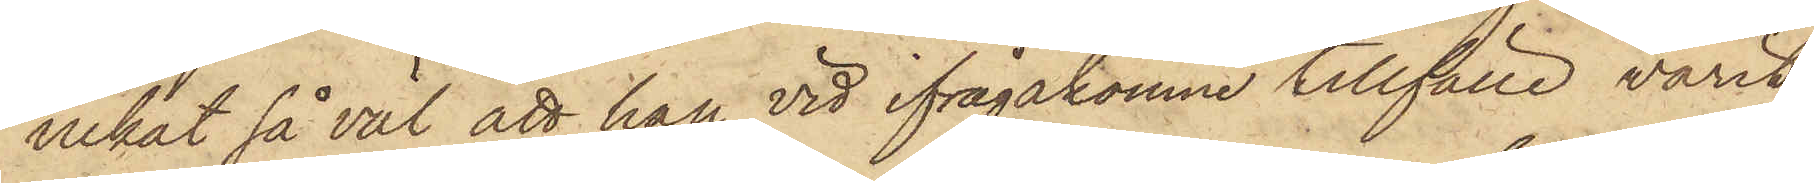nekat så väl att han vid ifrågakomne tillfälle varit
